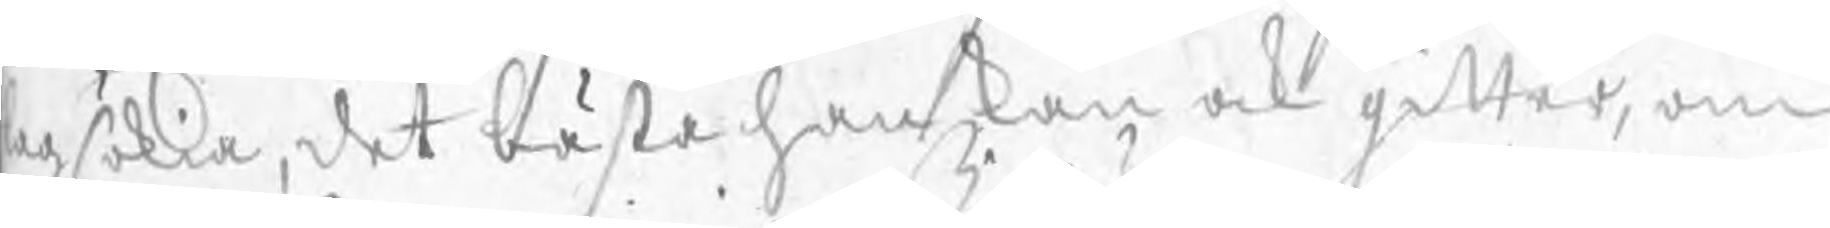lagsökia, det bästa han kan ock gitter, om
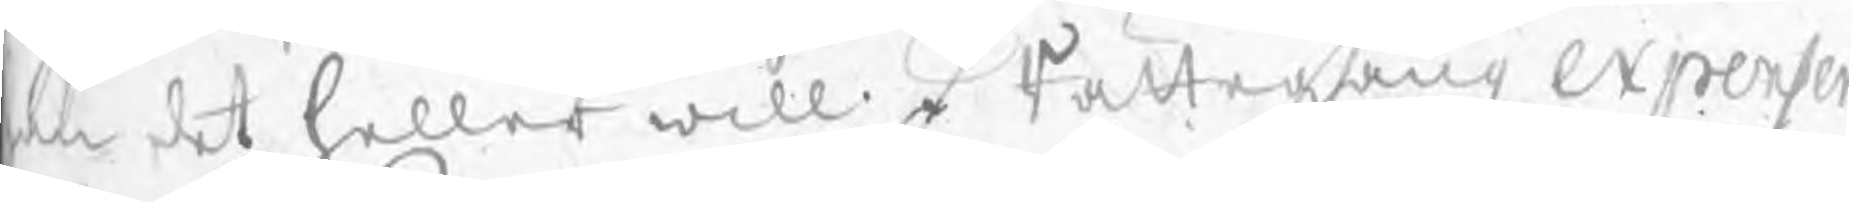an det heller will. I Rättegångz expenser
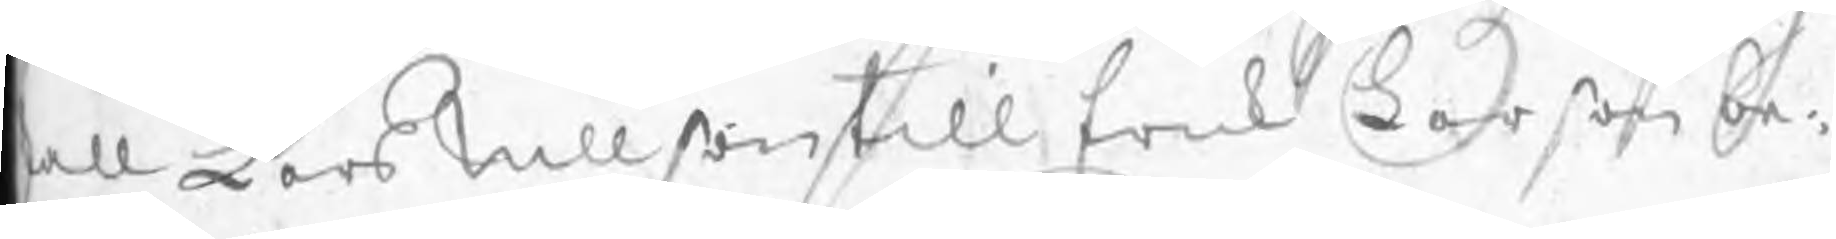kall Lars Nillson till Erich Larson be:
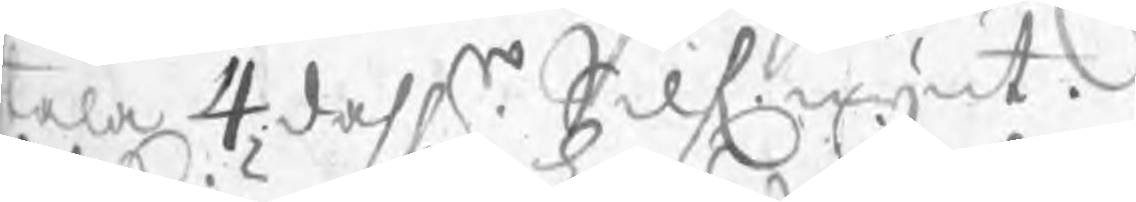tala 4 dahlr Silf.mynt.
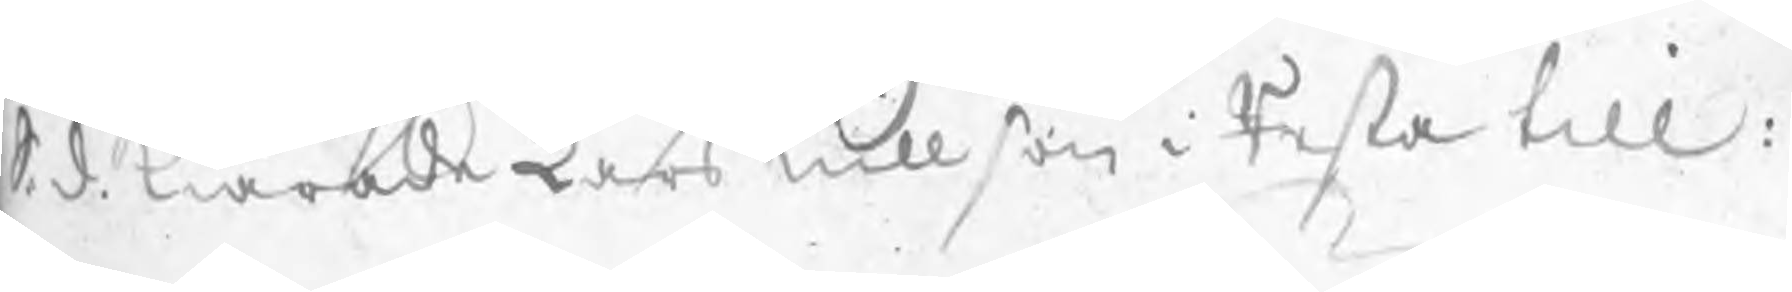S. d. Kiärade Lars Nillson i Resta till:
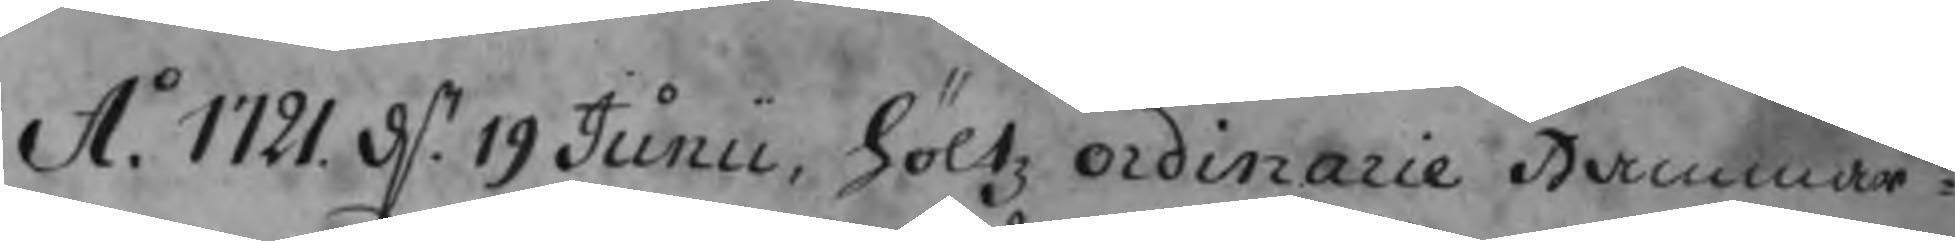A.o 1721 d. 19 Junii, höltz ordinarie Hammar¬
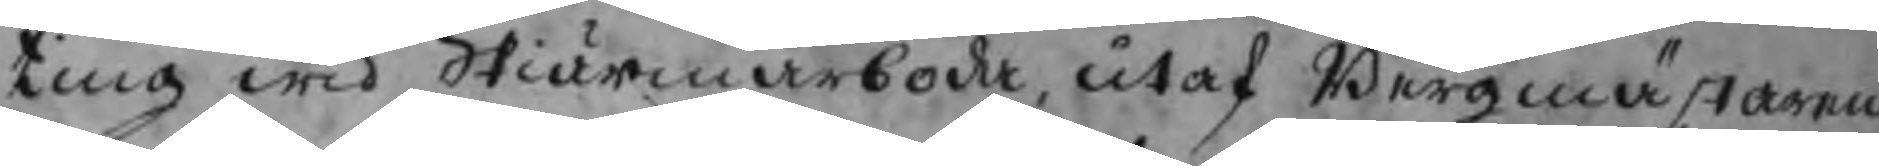ting wid Skiärmarboda, utaf Bergmästaren,
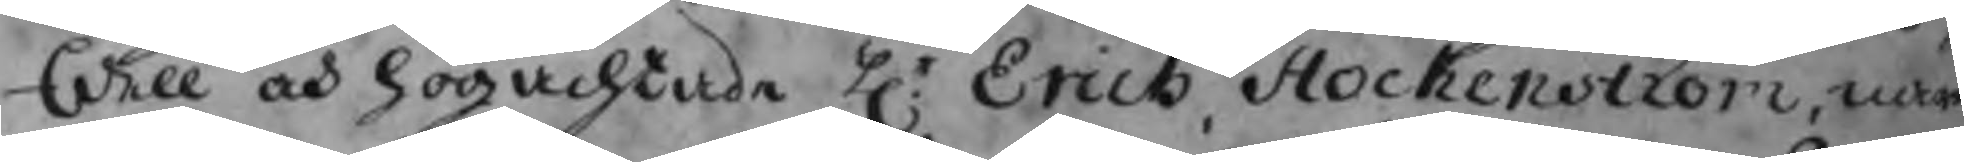Edell och högachtade Hr Erich Stockenström, när-
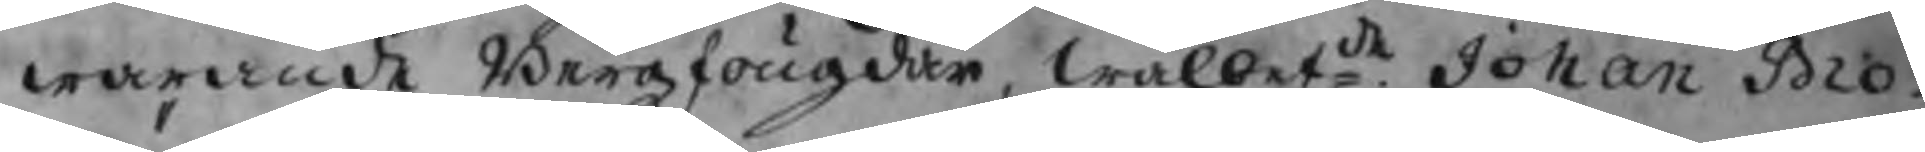warande Bergzfougden, wälbetde Johan Bro-
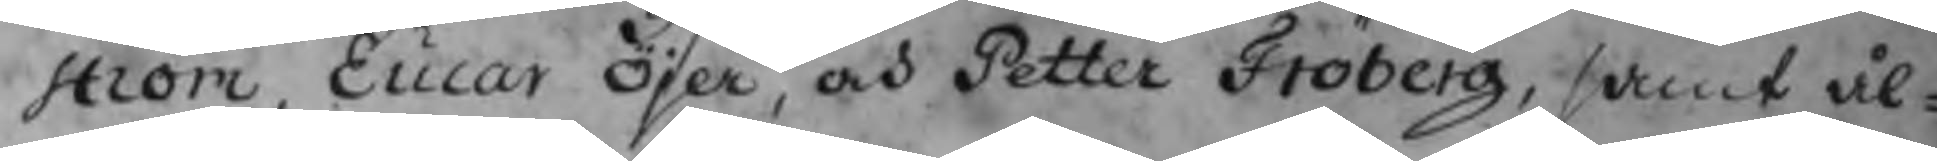ström, Eucar Öjer, och Petter Fröberg, samt ål-
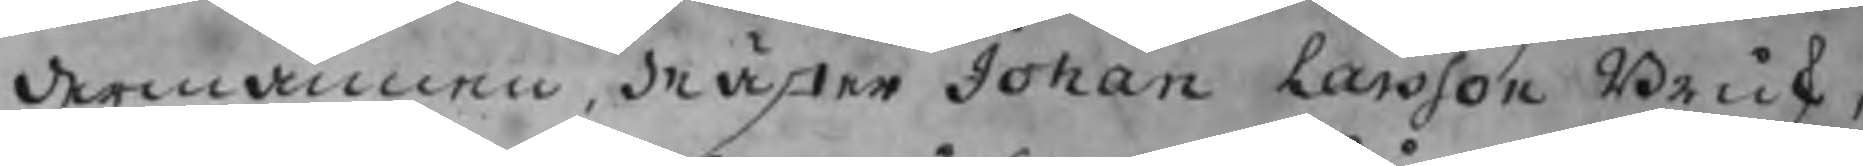dermännen, Mäster Johan Larsson Brusk,
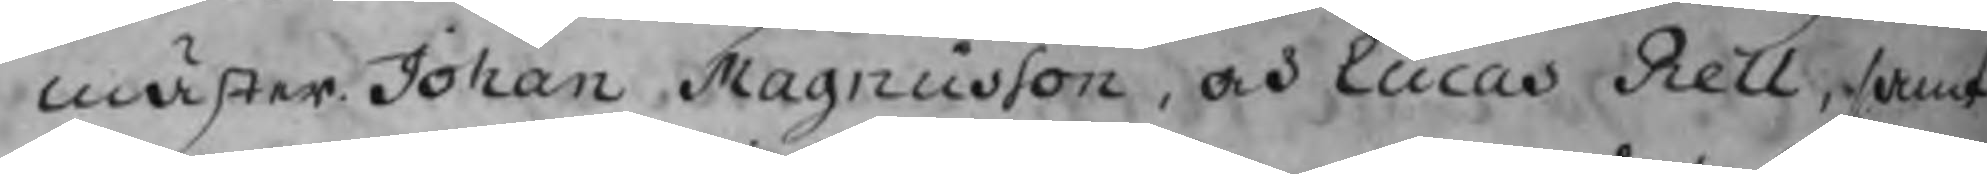mäster Johan Magnusson, och Lucas Rell, samt
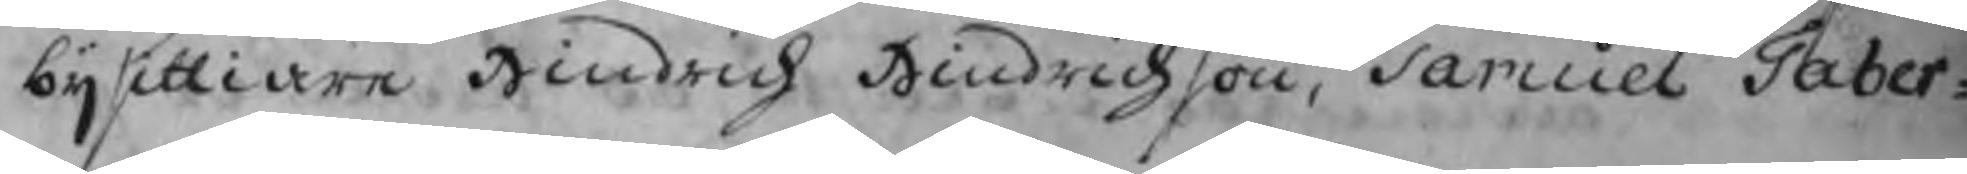bijsittiare Hindrich Hindrichson, Samuel Taber-
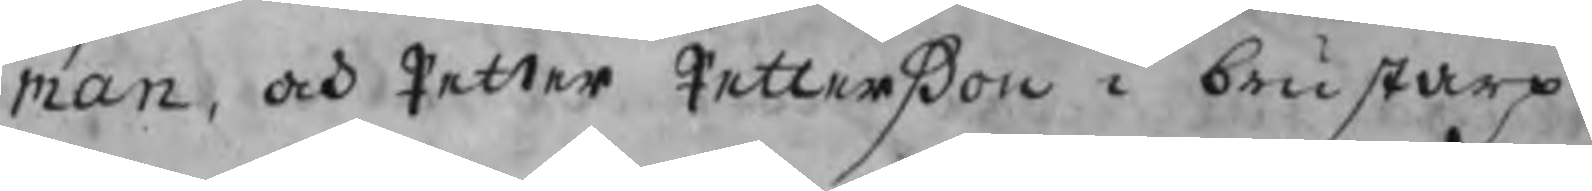man, och Petter Petterßon i Brustarp.
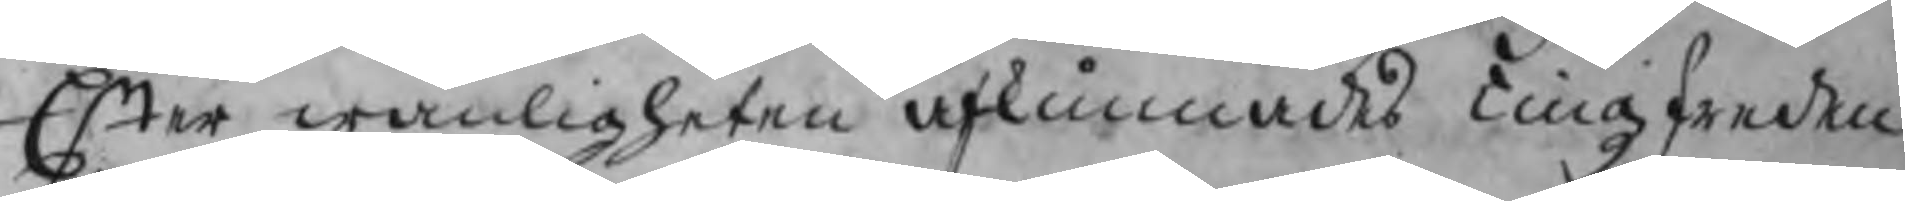Efter wanligheten afkunnades Tingzfreden
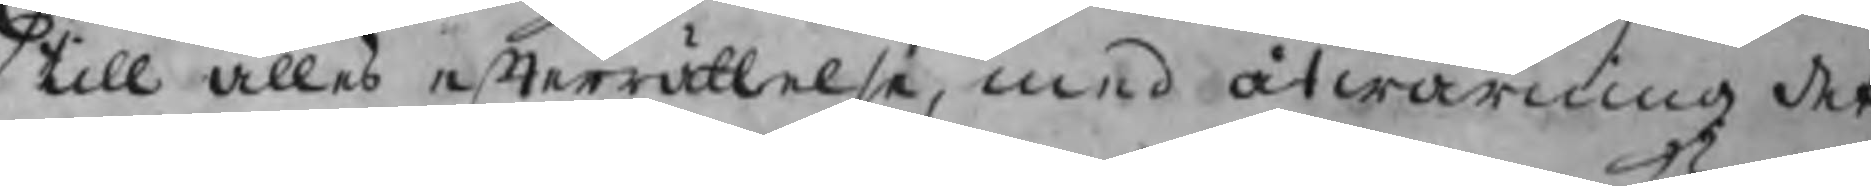till alles efterrättelse, med åtwarning det
